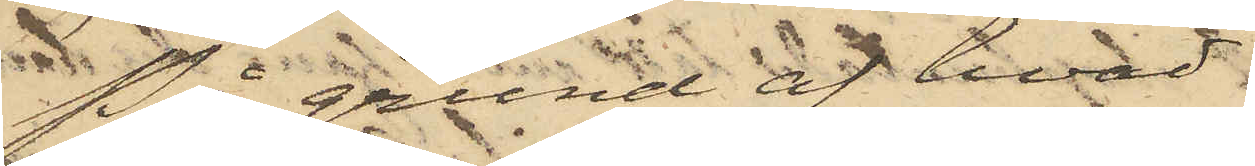På grund af hvad
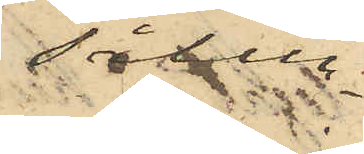sålun¬
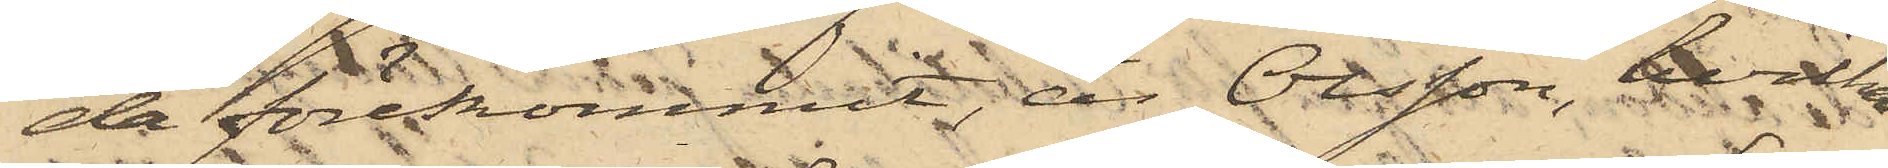da förekommit är Olsson, hvilken
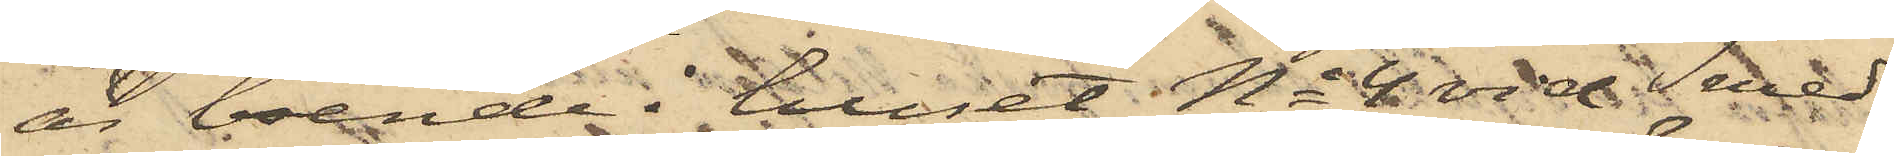är boende i huset No 4 vid Smed¬
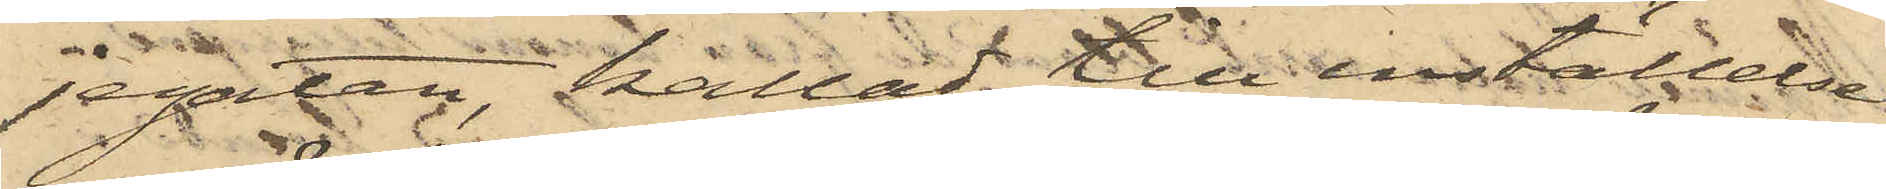jegatan, kallad till inställelse
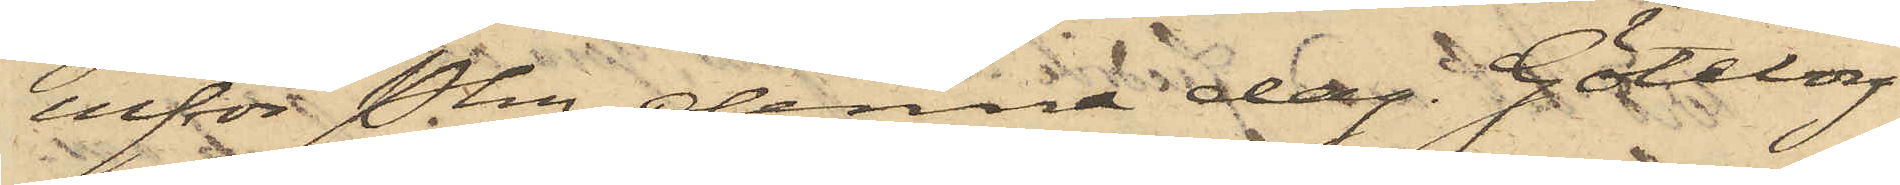inför Pkn denna dag. Göteborg
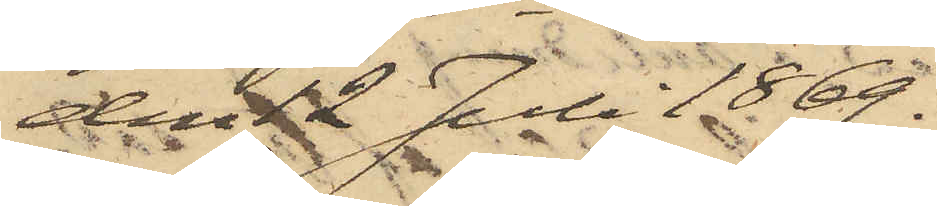den 12 Juli 1869.
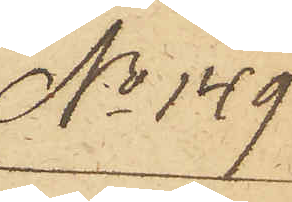No 149
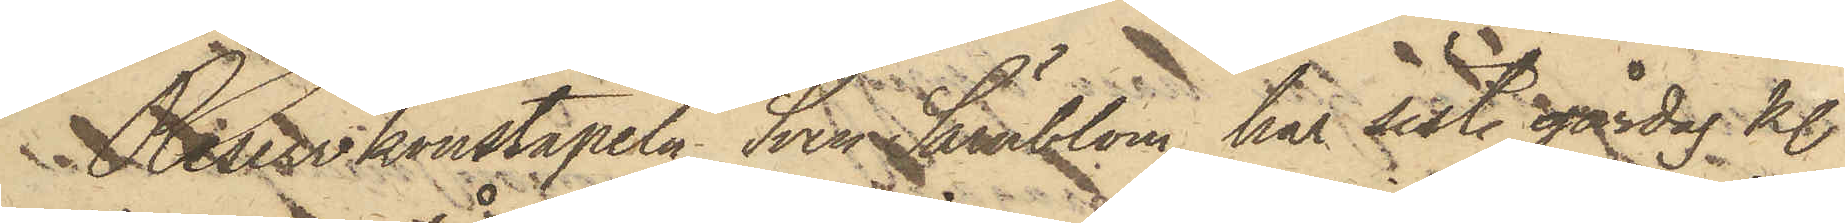Reservkonstapeln Sven Särnblom har sist. gårdag kl.
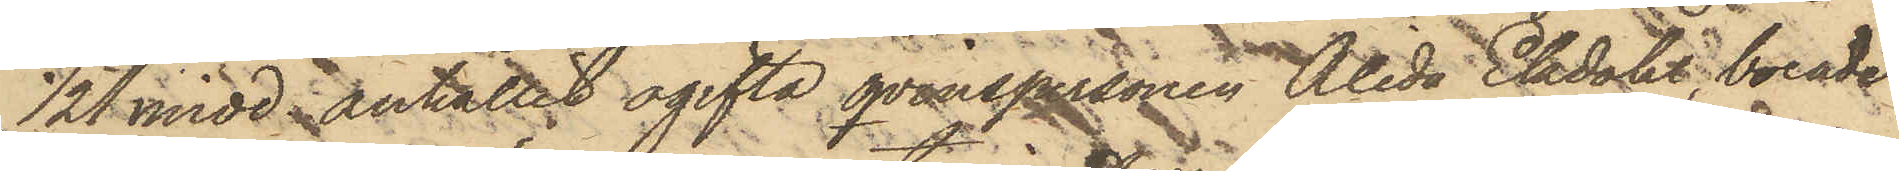1/2 1 midd. anhållit ogifta qvinspersonen Alida Ekdahl, boende
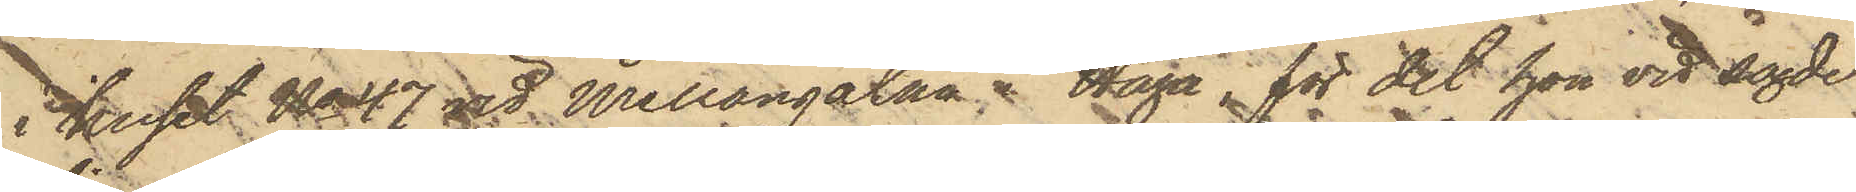i huset No 47 vid Mellangatan i Haga, för det hon vid sagde
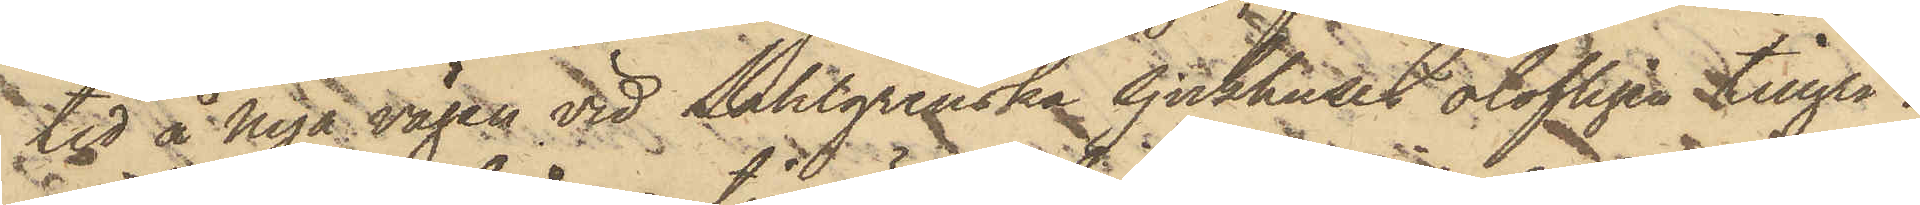tid å Nya vägen vid Sahlgrenska Sjukhuset olofligen tillgri¬
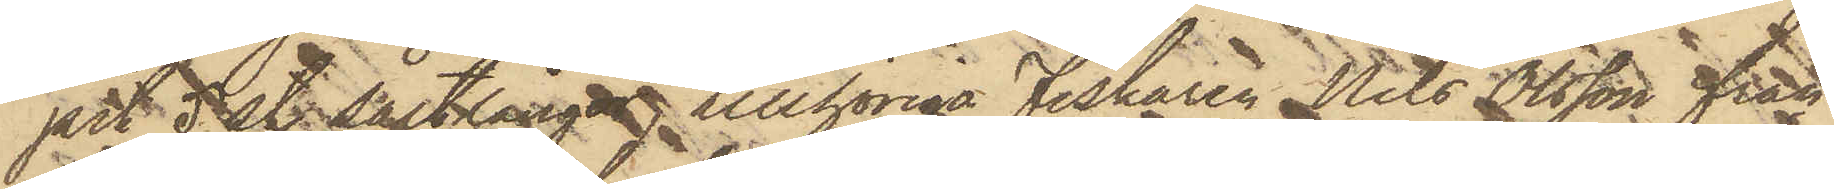pit 5 st. saltlångor, tillhöriga Fiskaren Nils Olsson från
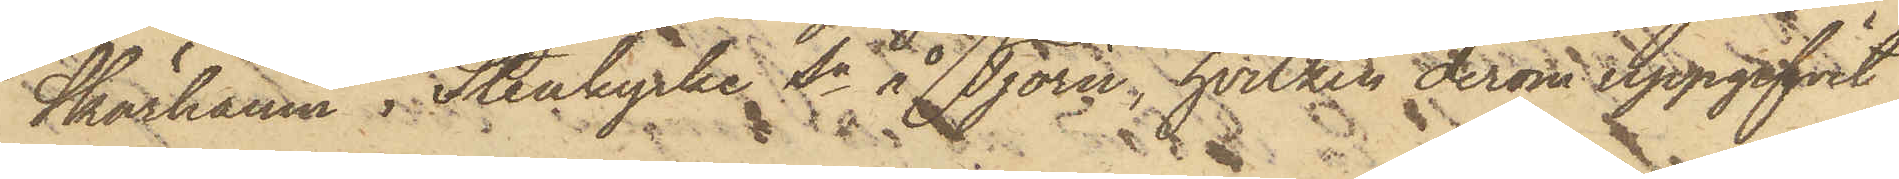Skärhamn i Stenkyrke Sn å Tjörn, hvilken derom uppgifvit
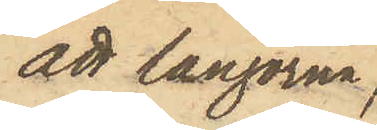att långorna,
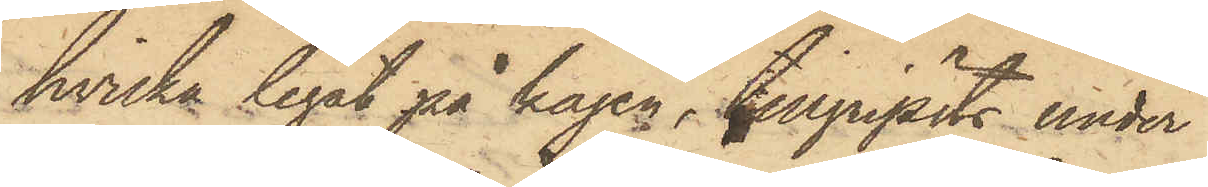hvilka legat på kajen, tillgripits under
